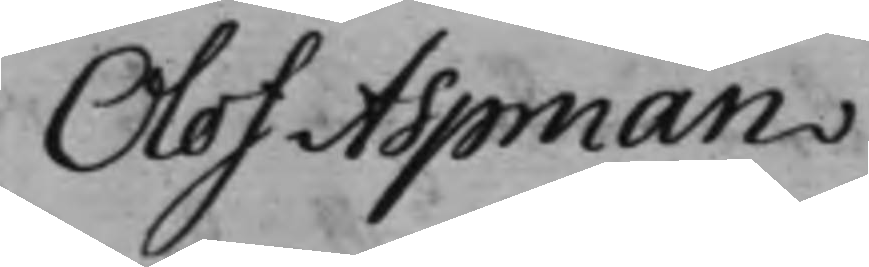Olof Aspman
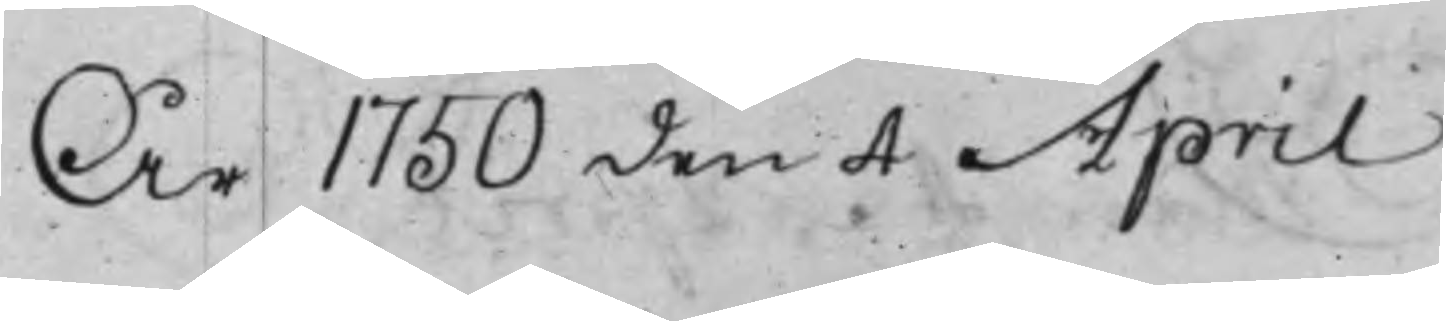År 1750 den 4 April
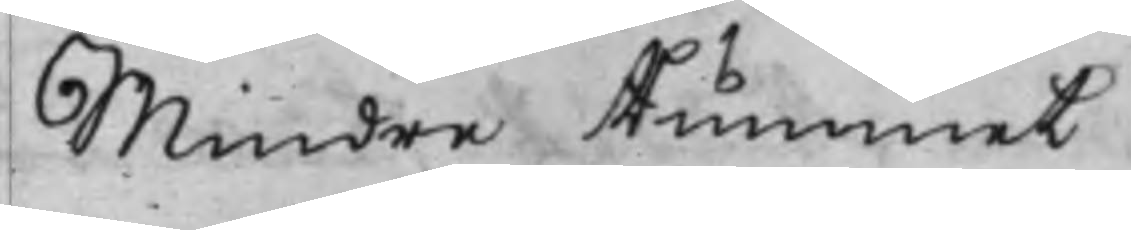Mindre Rummet
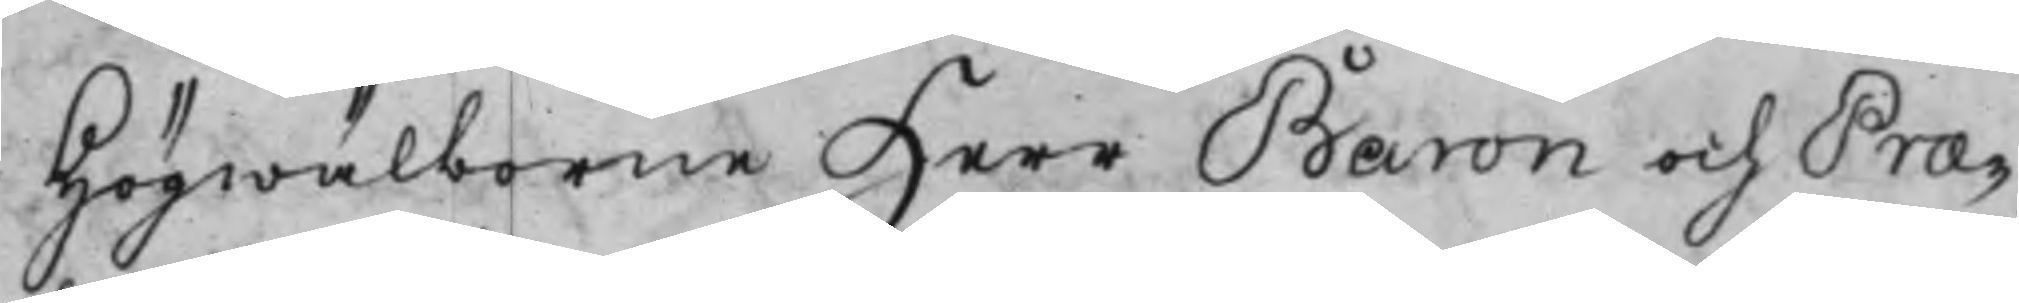Högwälborne Herr Baron och Præ¬
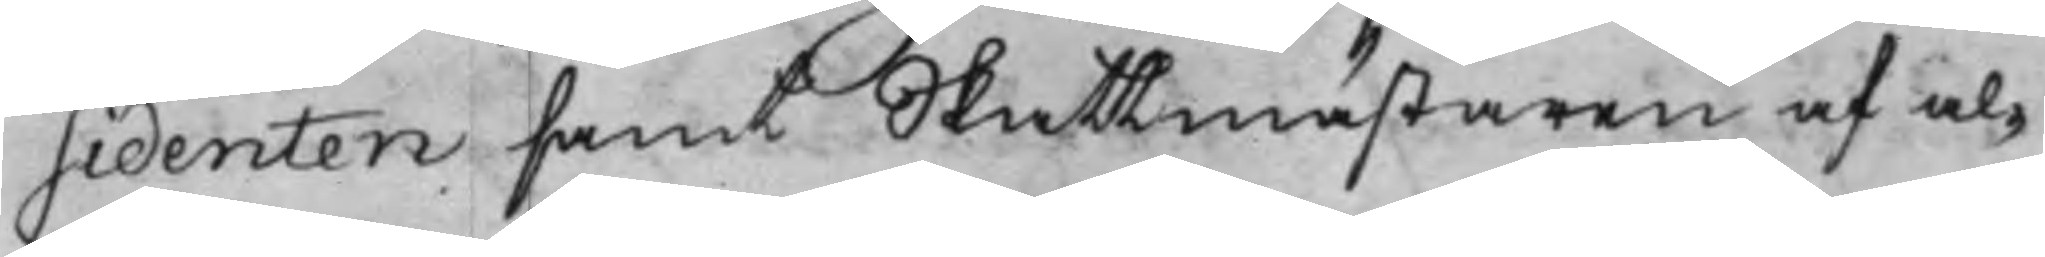sidenten samt Skattmästaren af al¬
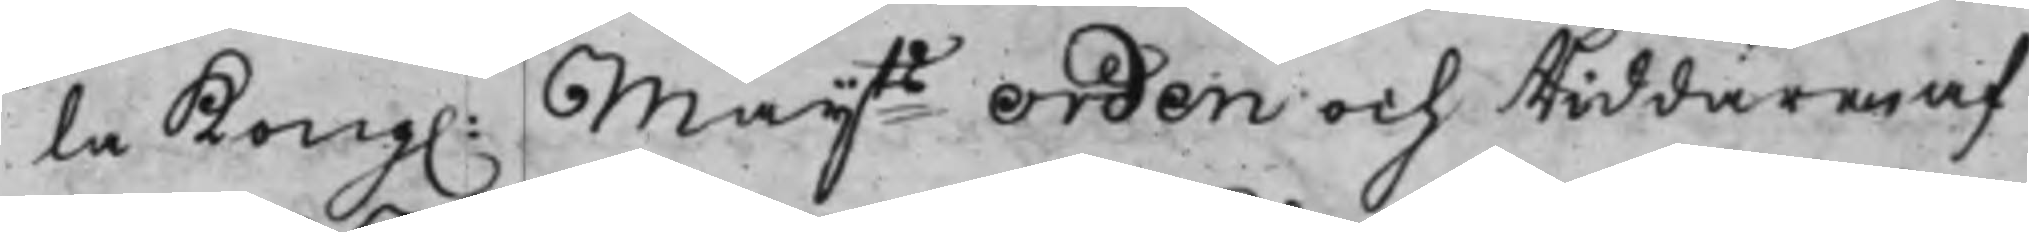la Kong. Maijts Orden och Riddaren af
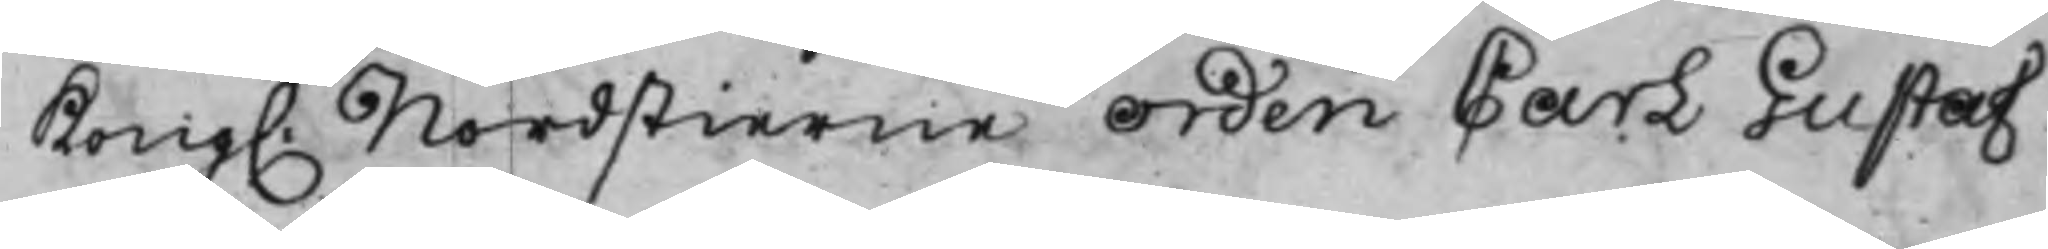Kong. Nordstierne Orden Carl Gustaf
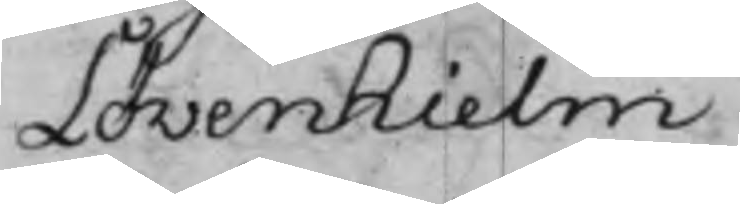Löwenhielm
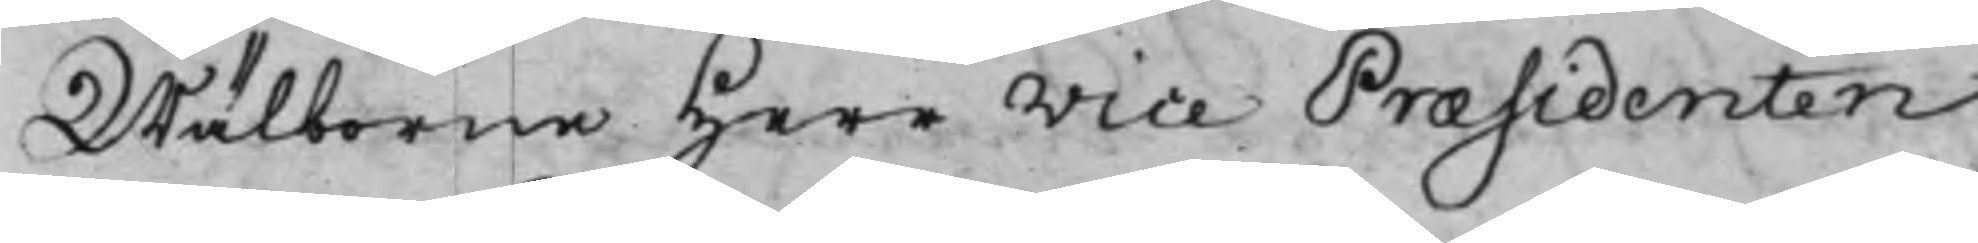Wälborne Herr Vice Præsidenten
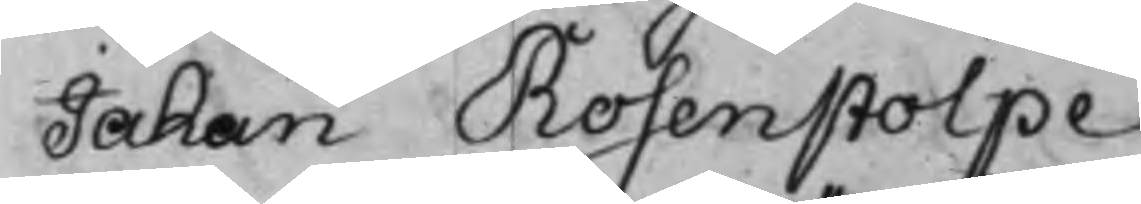Jahan Rosenstolpe
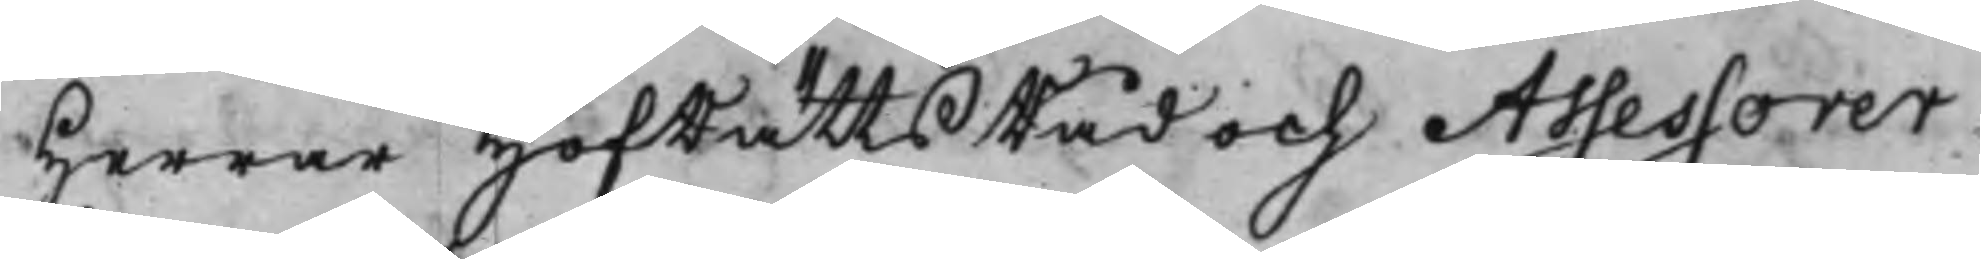Herrar HofRättsRåd och Assessorer
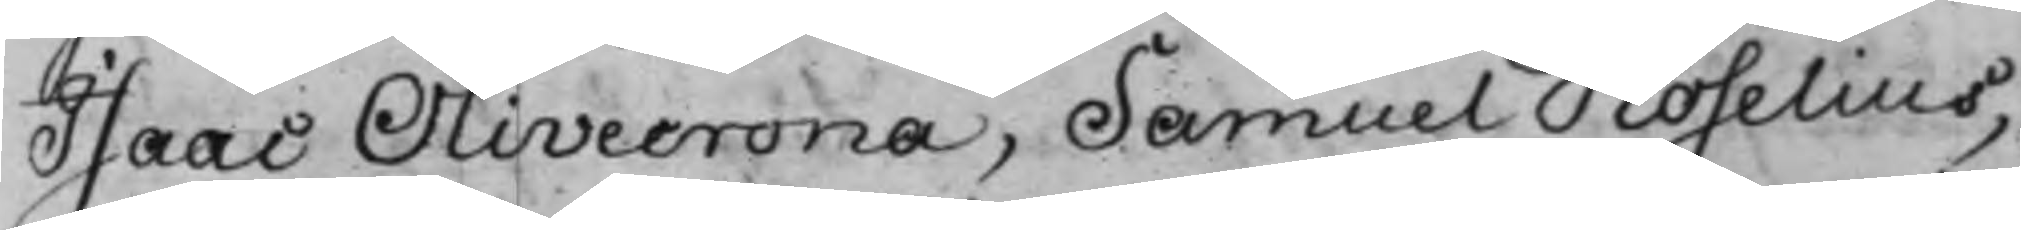Isaac Olivecrona, Samuel Roselius,
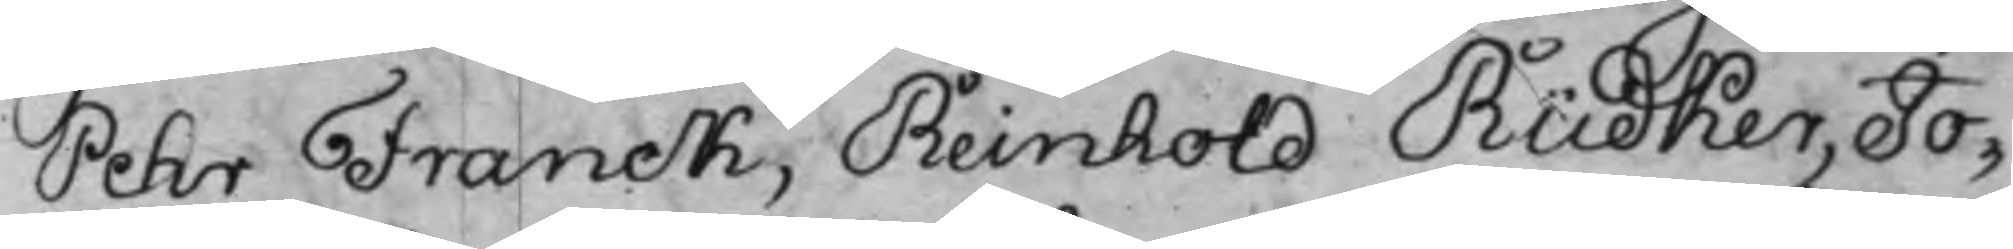Pehr Franck, Reinhold Rüdker, Jo¬
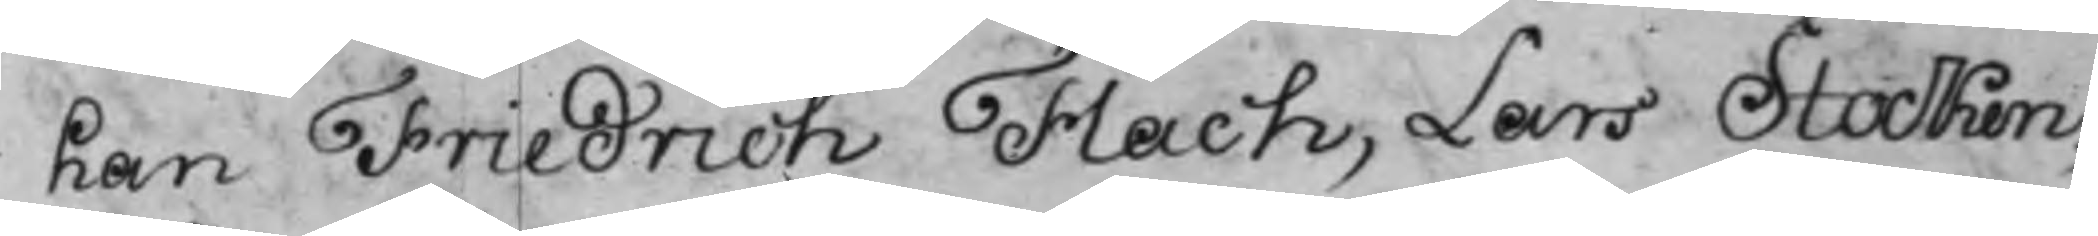han Friedrich Flach, Lars Stocken¬
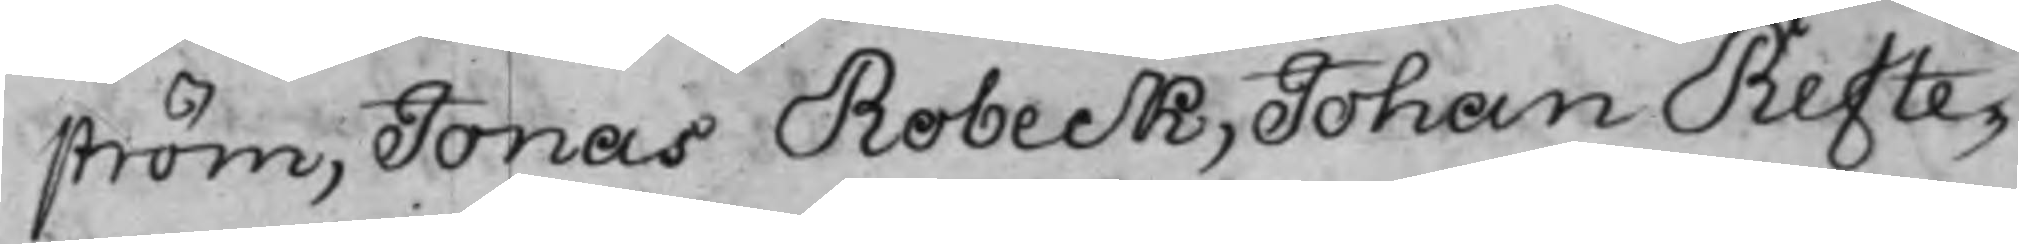ström, Jonas Robeck, Johan Refte¬
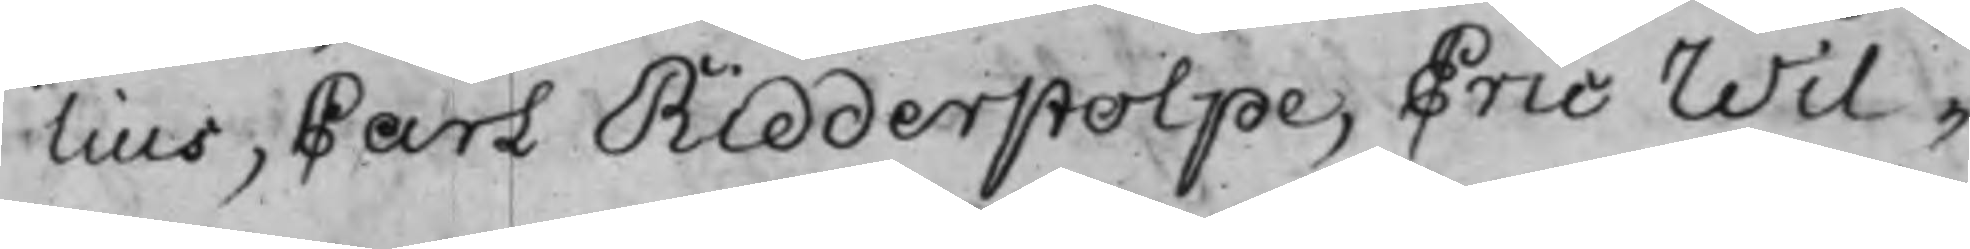lius, Carl Ridderstolpe, Eric Wil¬
